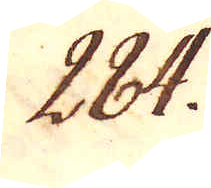284.
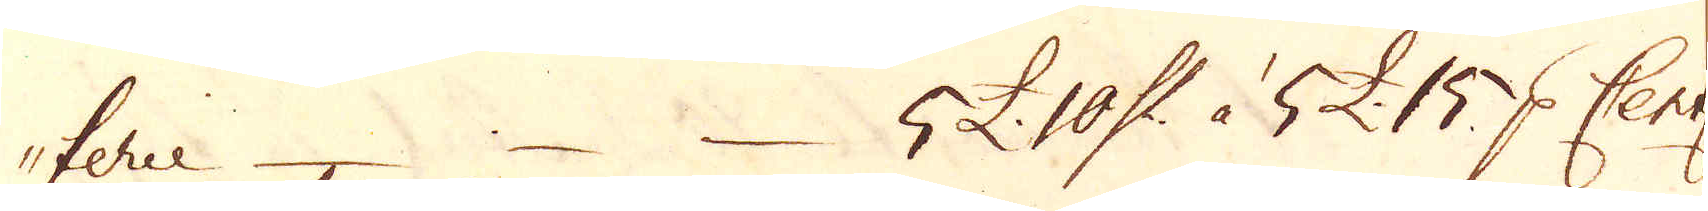terie – – – 5 £. 10 Sk:r à 5 £. 15 p Cent:
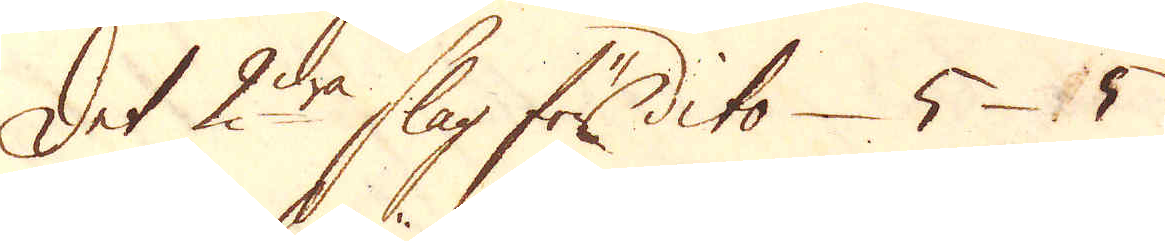Det 2dra slag för dito – 5 – 5 –
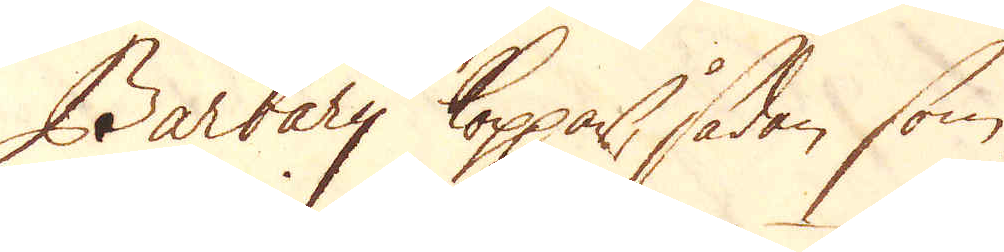Barbary Koppar, sådan som
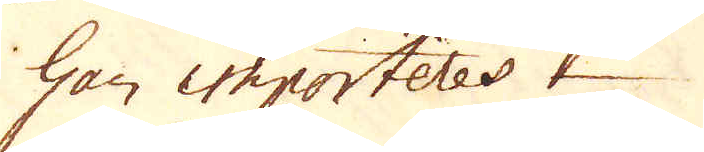han importeres
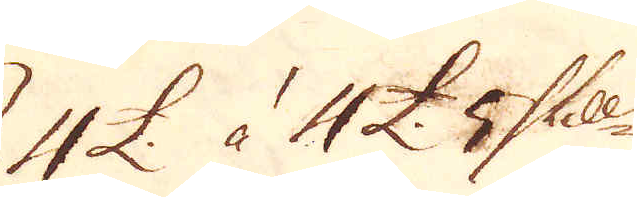4 £. à 4 £. 5 Skill.
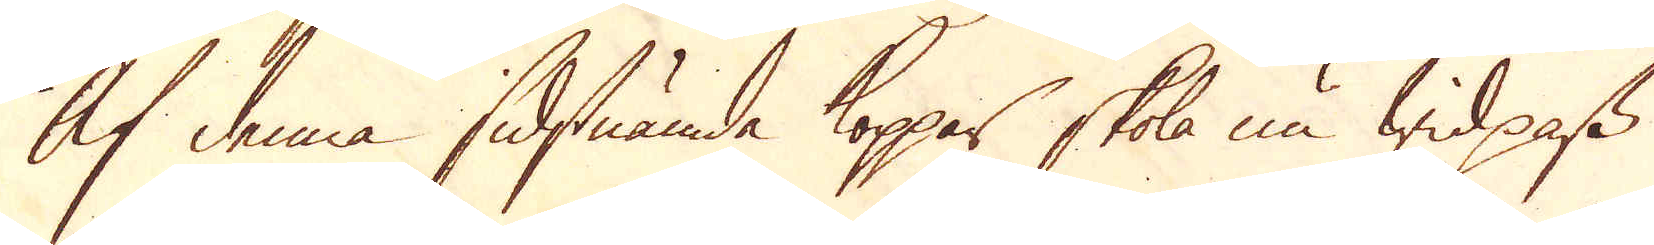Af denna sidstnämde koppar skola nu wid pass
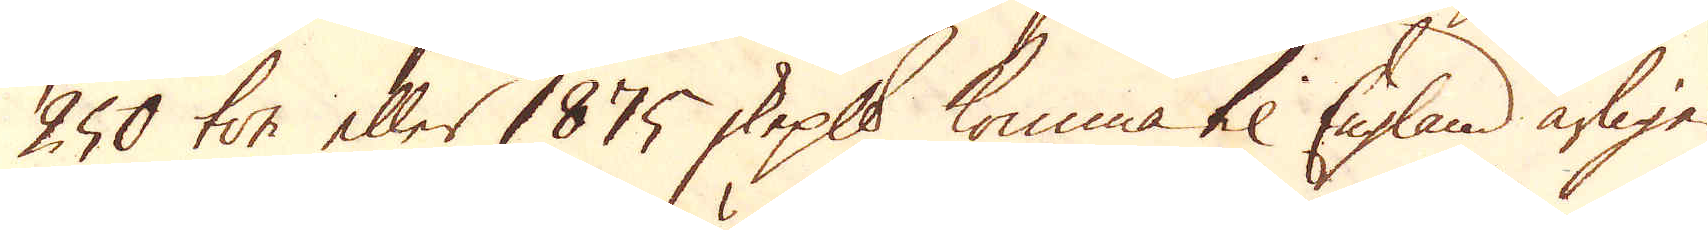250 ton eller 1875 skeppund komma til England årligen
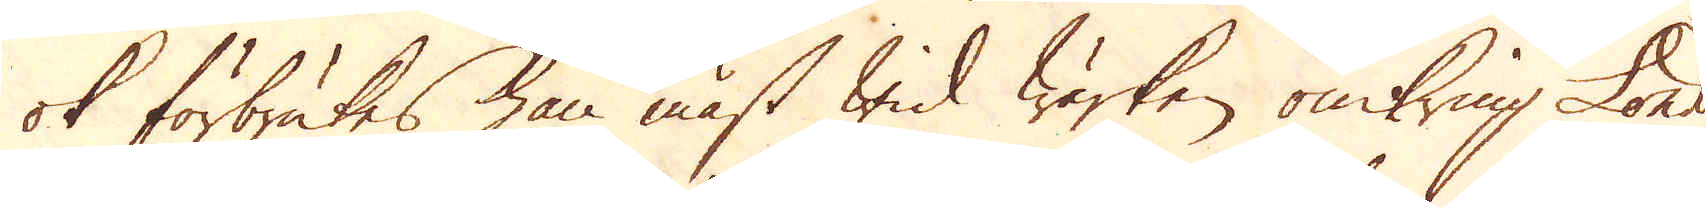ok förbrukes han mäst wid Wärken omkring London.
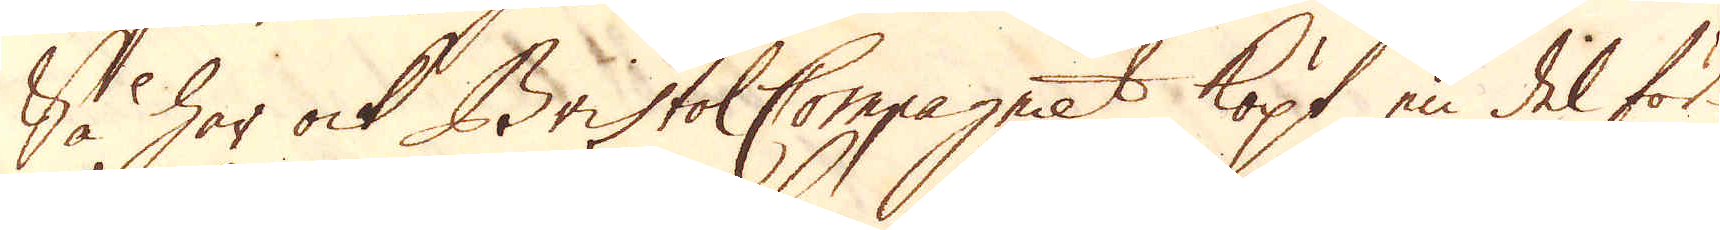Så har ock Bristol Compagniet köpt en del för
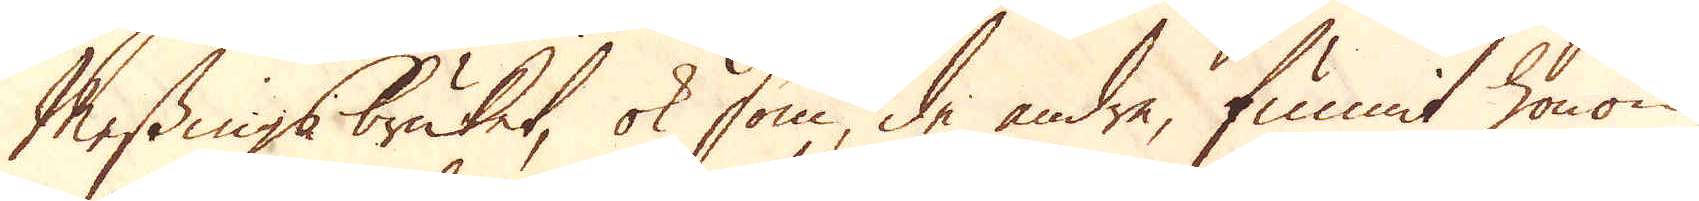Messingsbruket, ok som, de andre, funnit honom
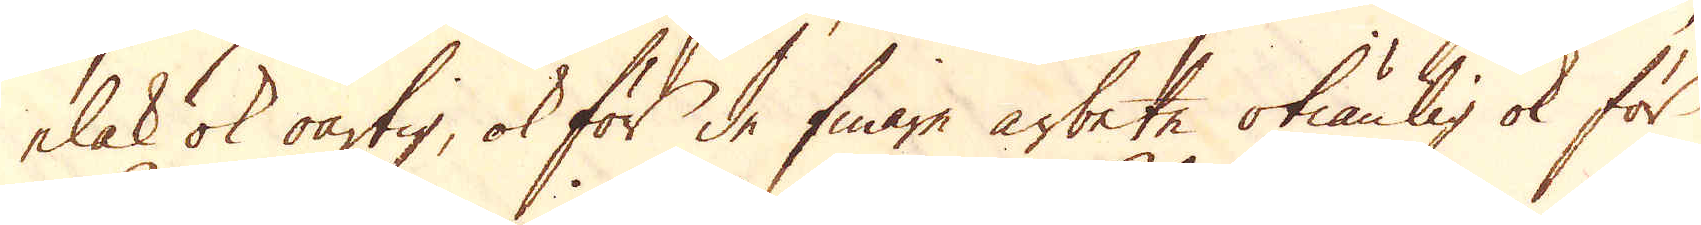elak ok oartig, ok för de finare arbete otiänlig ok för
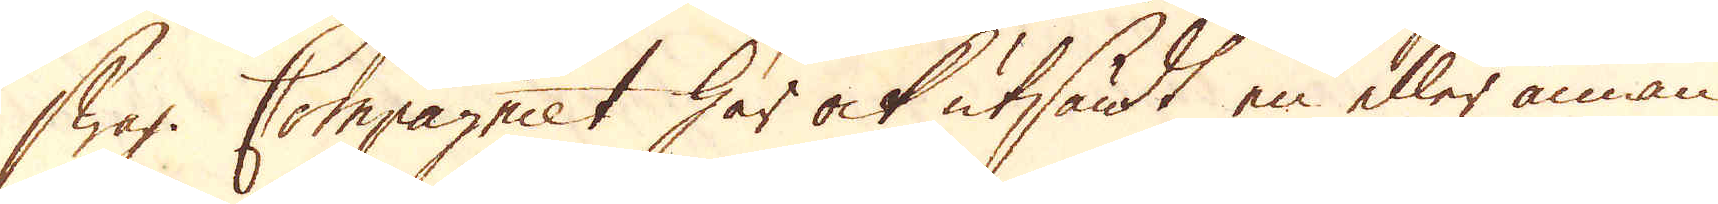swag. Compagniet har ock utsändt en eller annan
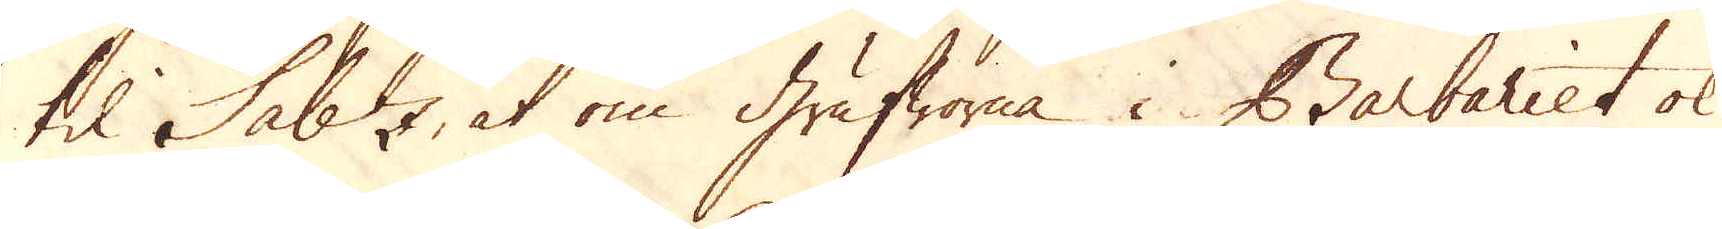til Sabz, at om Grufworna i Barbariet ok
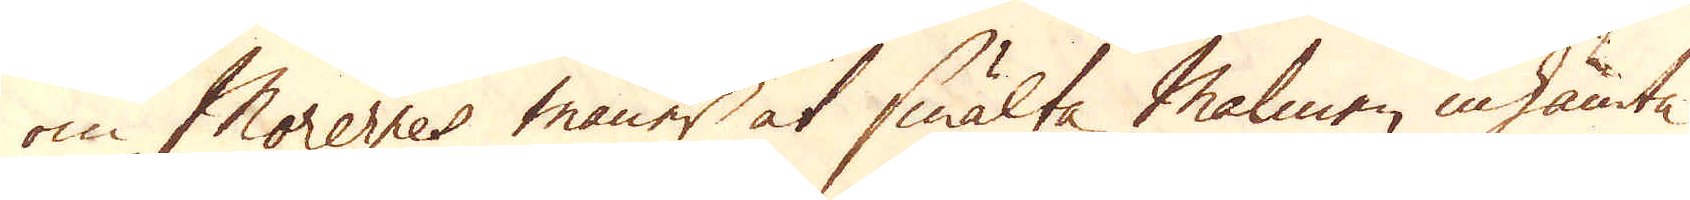om Morernes maner at smälta Malmen inhämta
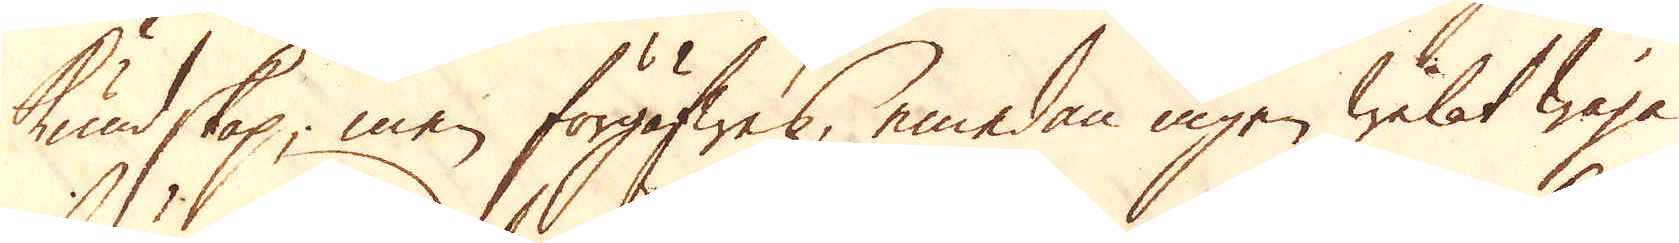kundskap, men förgäfwes, emedan ingen welat weja
